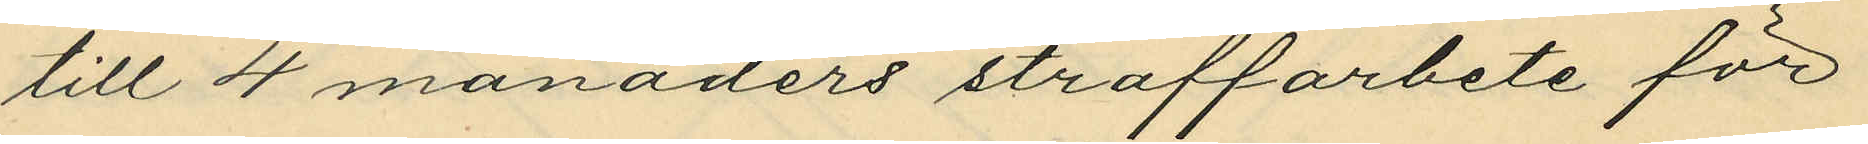till 4 månaders straffarbete för
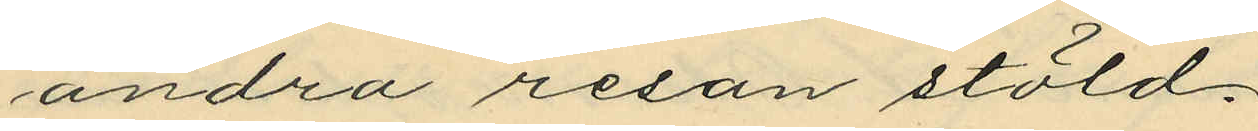andra resan stöld.
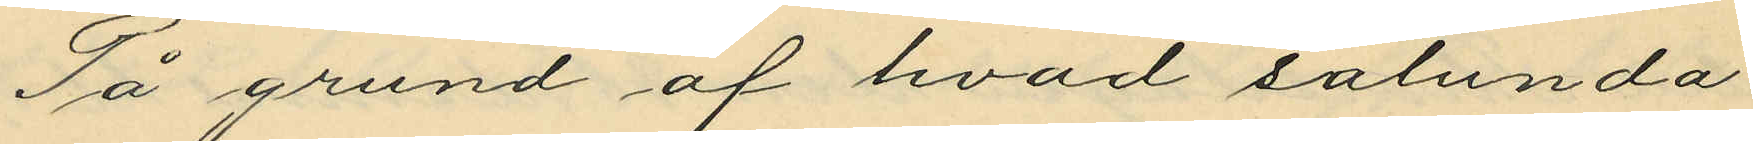På grund af hvad sålunda
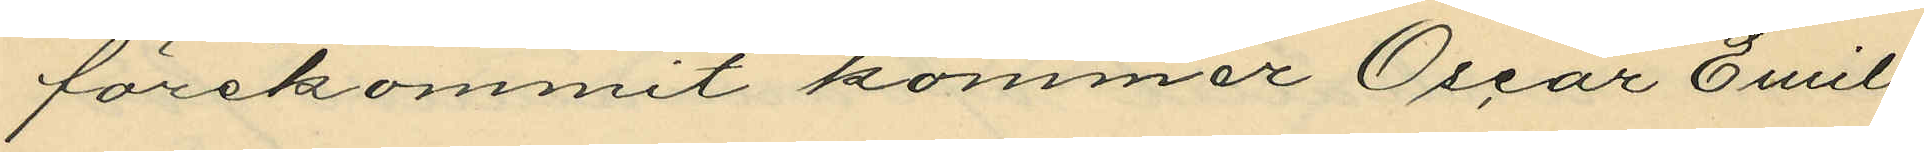förekommit kommer Oscar Emil
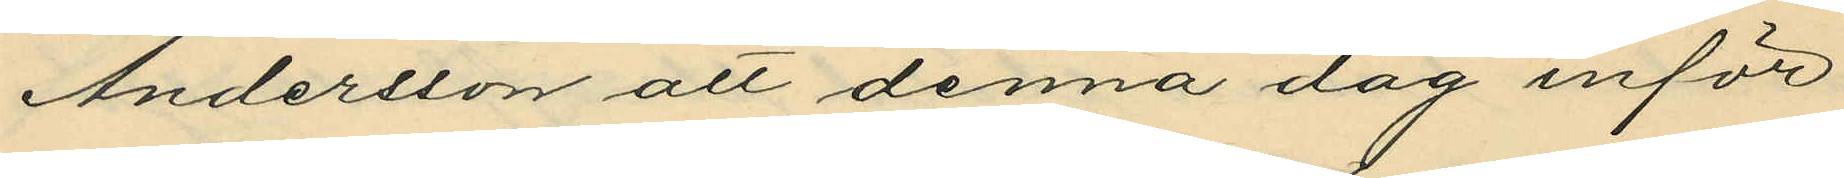Andersson att denna dag inför
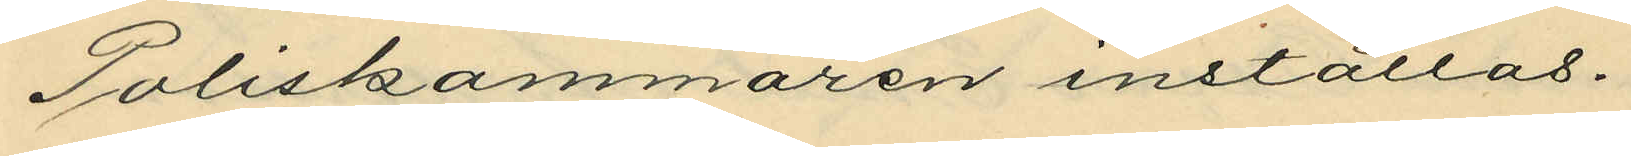Poliskammaren inställas.
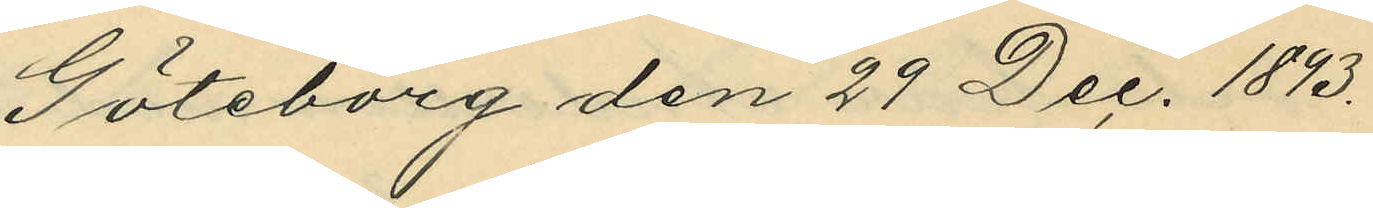Göteborg den 29 Dec. 1893.
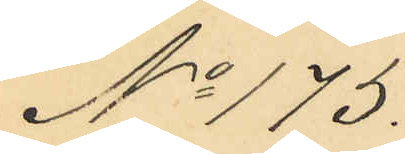No 175.
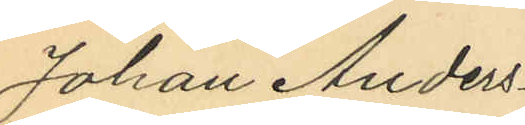Johan Anders¬
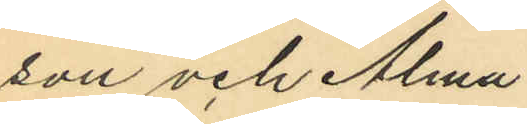son och Alma
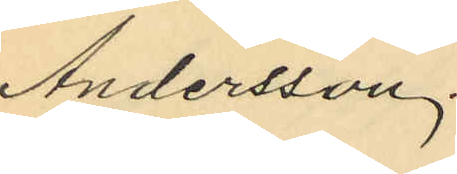Andersson.
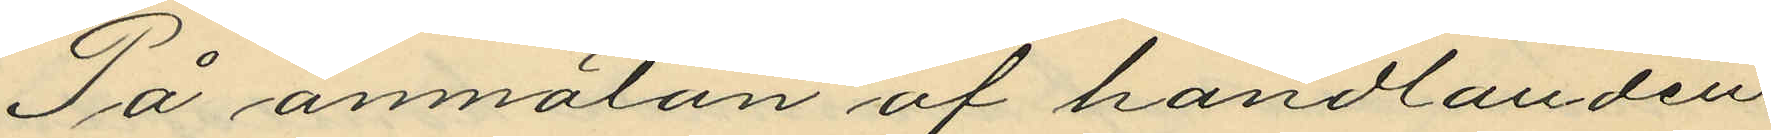På anmälan af handlanden
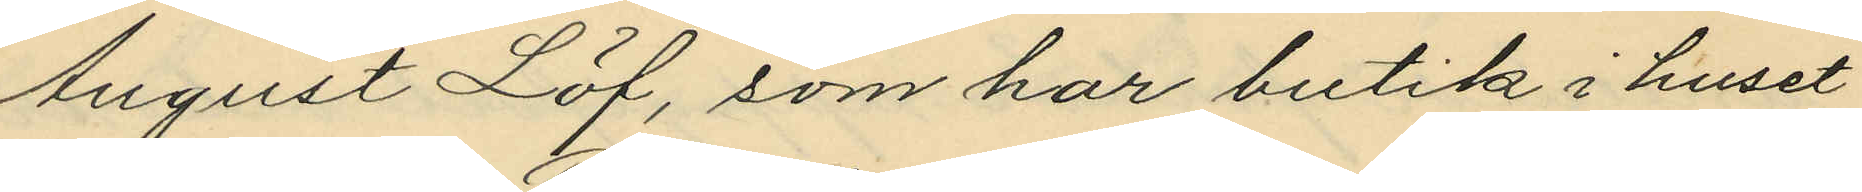August Löf, som har butik i huset
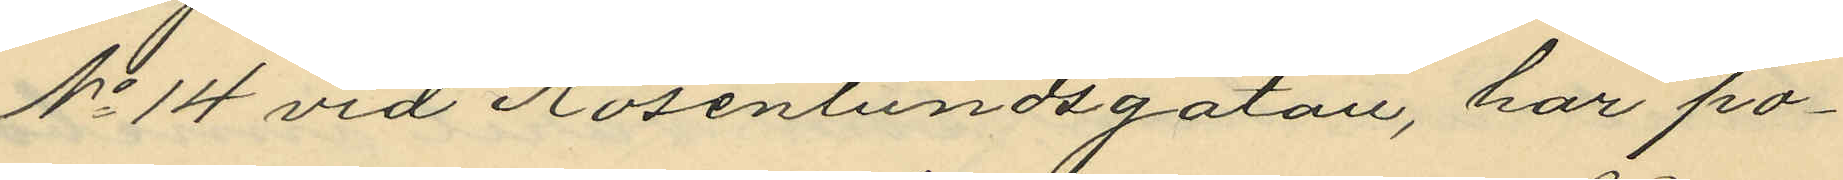No 14 vid Rosenlundsgatan, har po¬
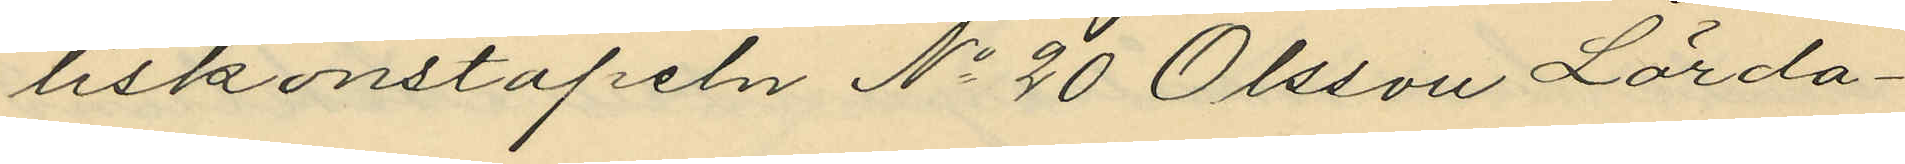liskonstapeln No 20 Olsson Lörda¬
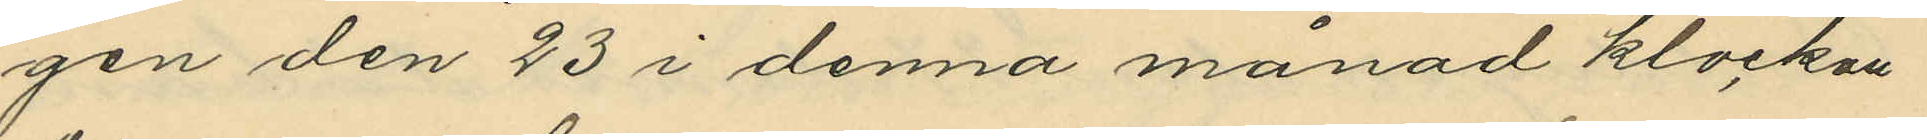gen den 23 i denna månad klockan
